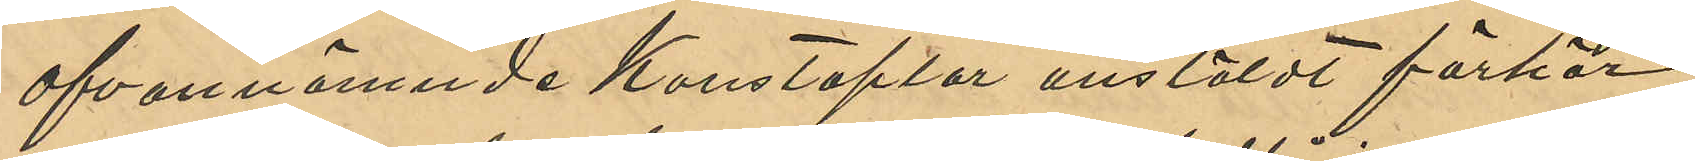ofvannämnde Konstaplar anstäldt förhör
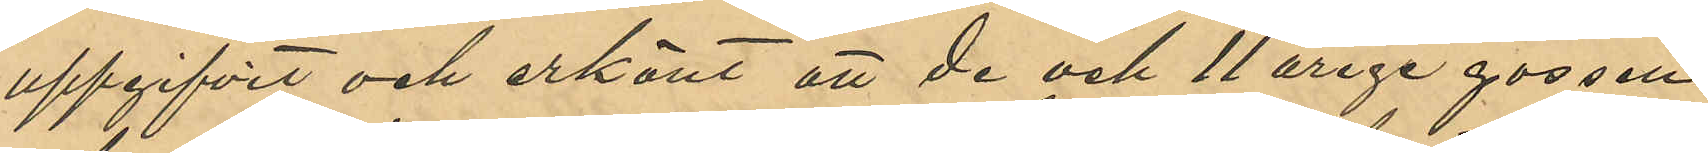uppgifvit och erkänt att de och 11 årige gossen
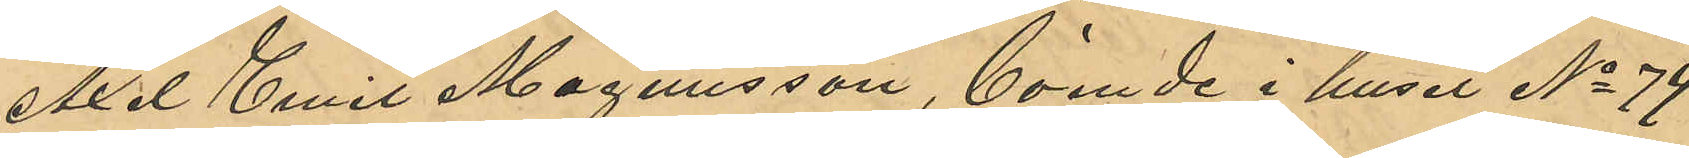Axel Emil Magnusson, boende i huset No 74
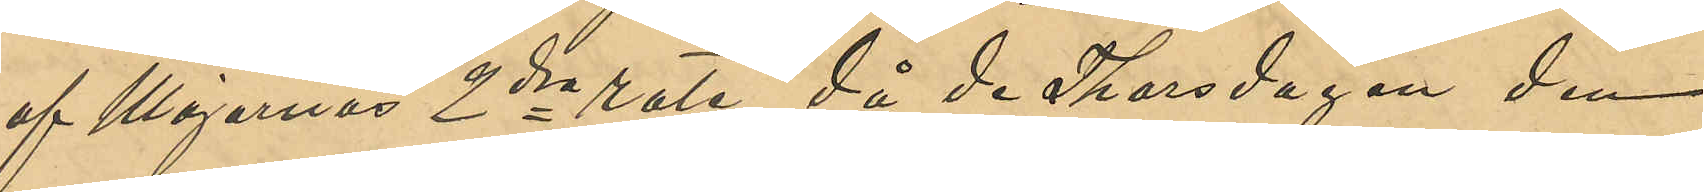af Majornas 2dra rote, då de Thorsdagen den
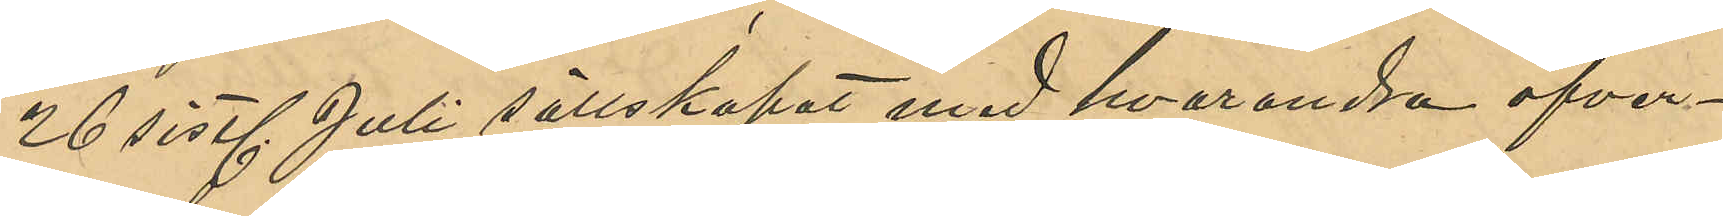26 sist. Juli sällskapat med hvarandra öfver¬
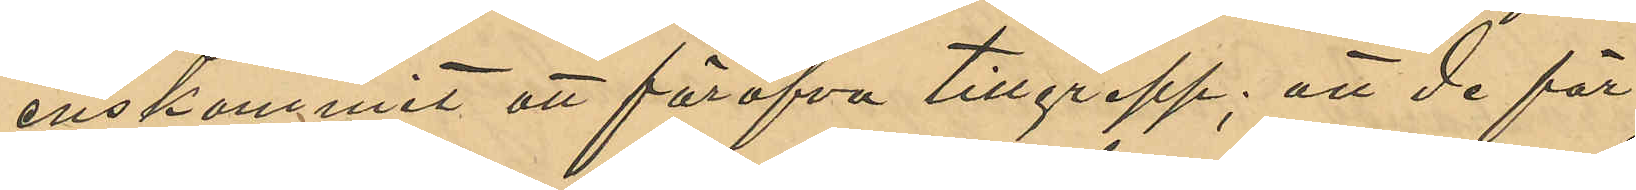enskommit att föröfva tillgrepp; att de för
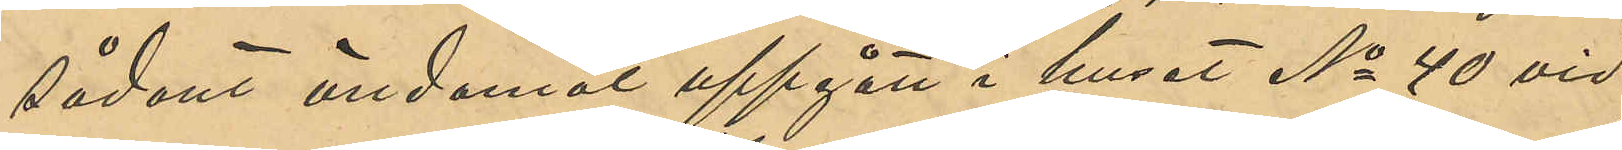sådant ändamål uppgått i huset No 40 vid
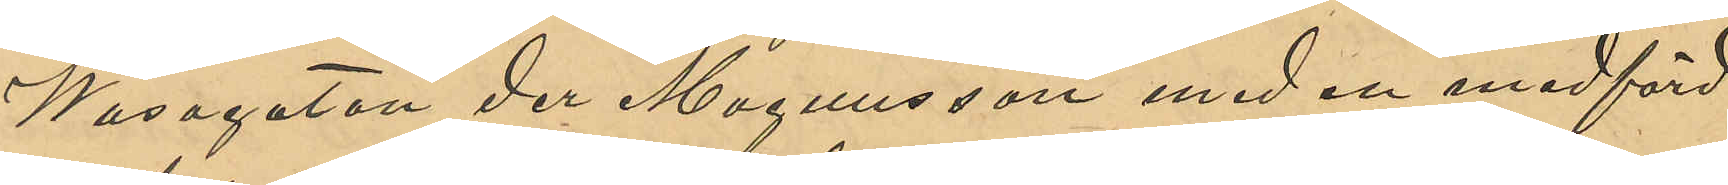Wasagatan der Magnusson med en medförd
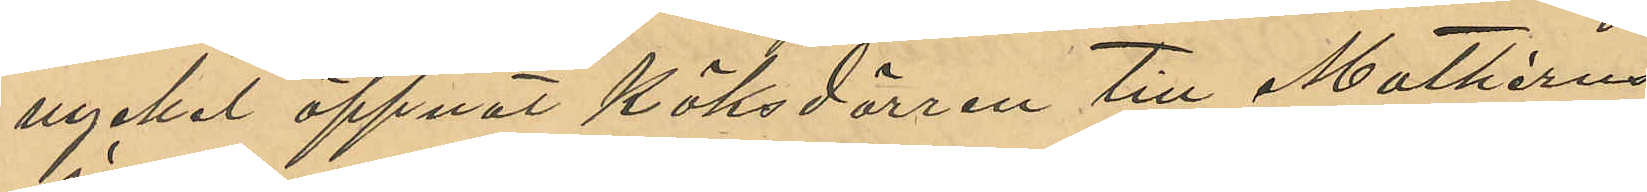nyckel öppnat köksdörren till Mathérns
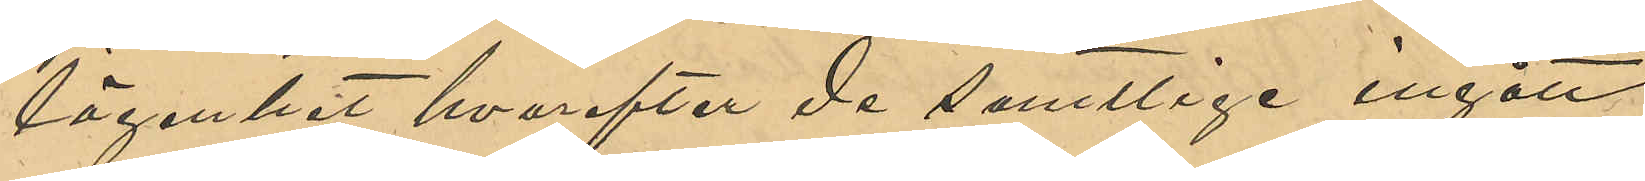lägenhet hvarefter de samtlige ingått
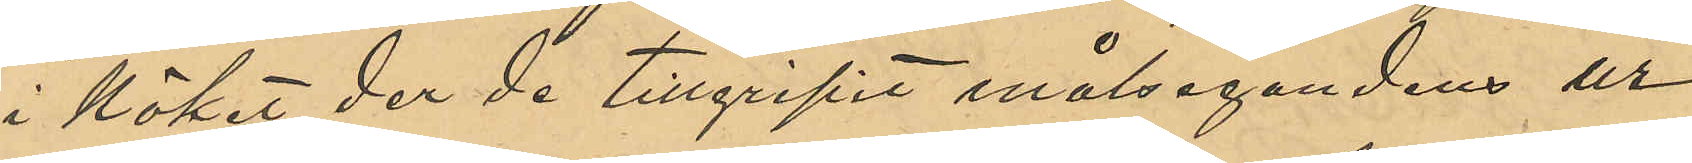i köket der de tillgripit målsegandens ur
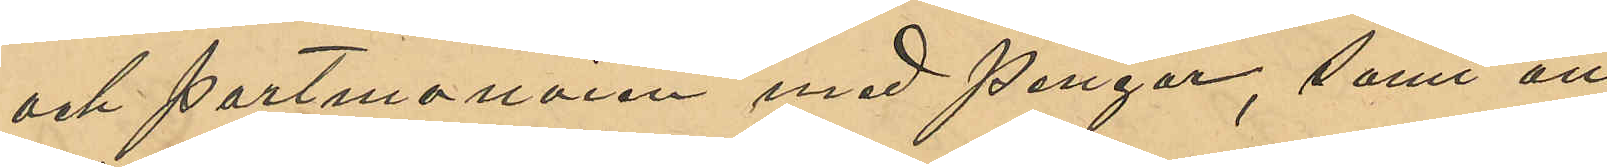och portmonnäen, med pengar, samt att
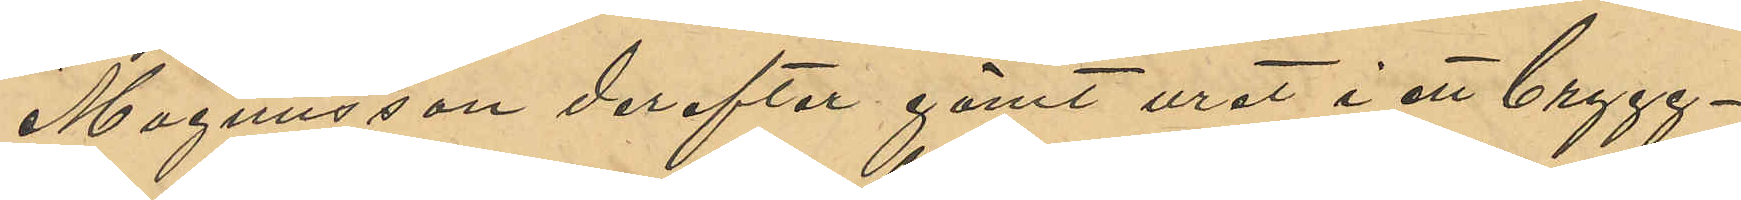Magnusson derefter gömt uret i ett brygg¬
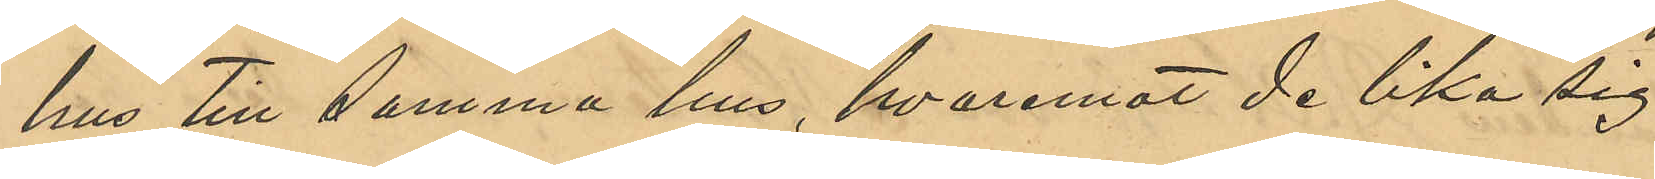hus till samma hus, hvaremot de lika sig
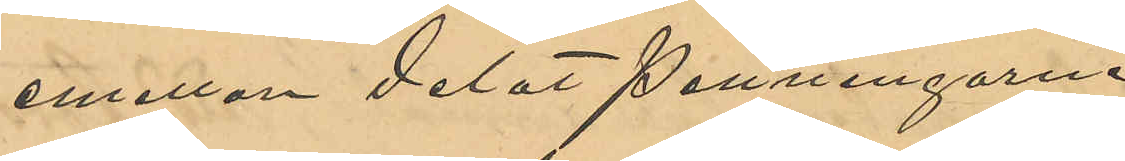emellan delat penningarne.
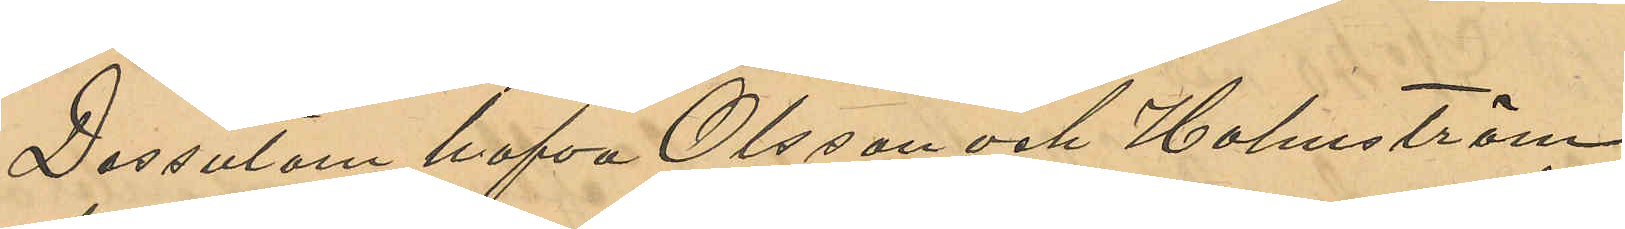Dessutom hafva Olsson och Holmström
